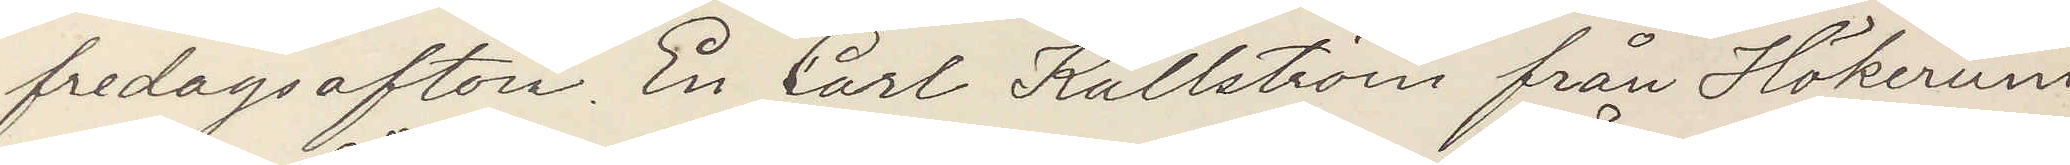fredagsafton. En Carl Källström från Hökerum
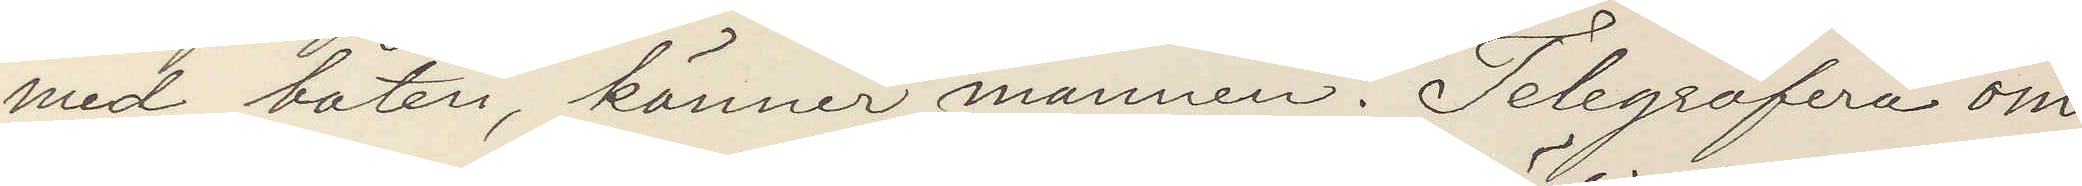med båten, känner mannen. Telegrafera om
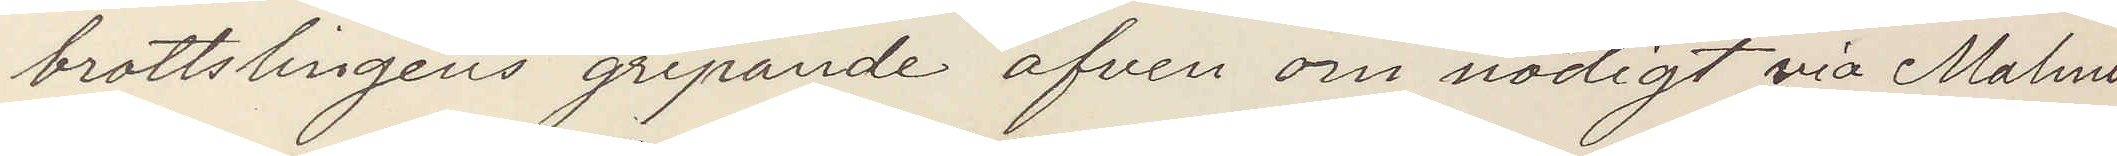brottslingens gripande äfven om nödigt via Malmö
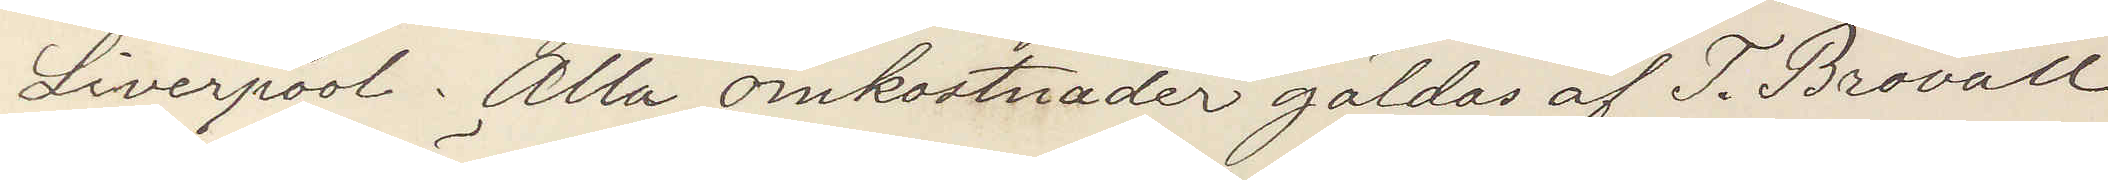Liverpool. Alla omkostnader gäldas af T. Brovall
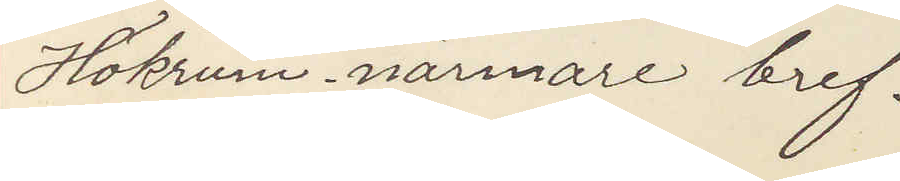Hökrum. närmare bref.
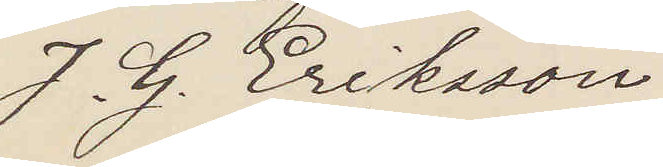J. G. Eriksson
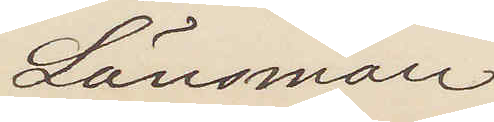Länsman
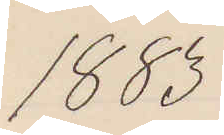1883
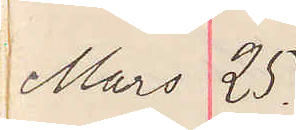Mars 25.
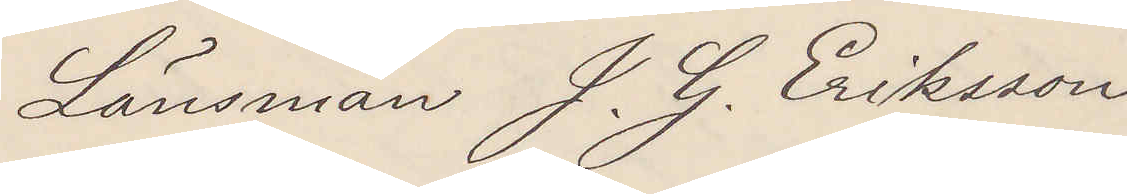Länsman J. G. Eriksson
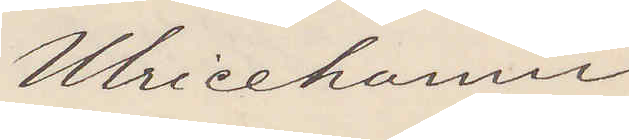Ulricehamn
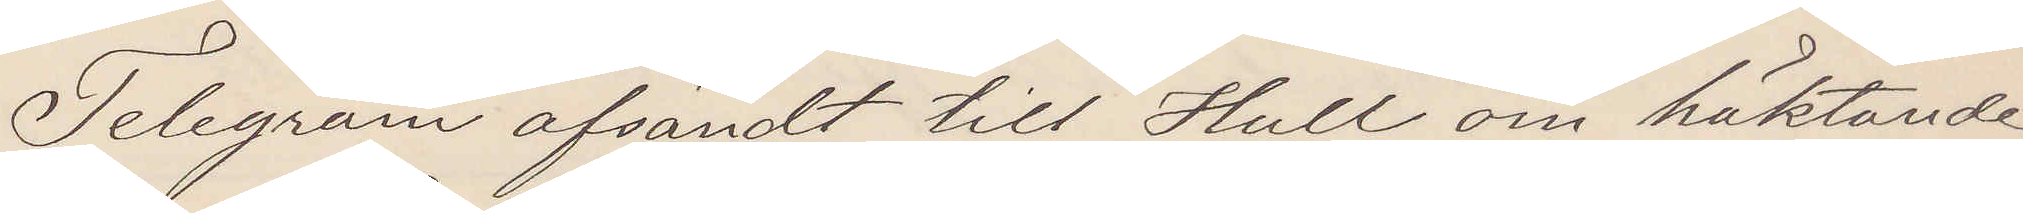Telegram afsändt till Hull om häktande
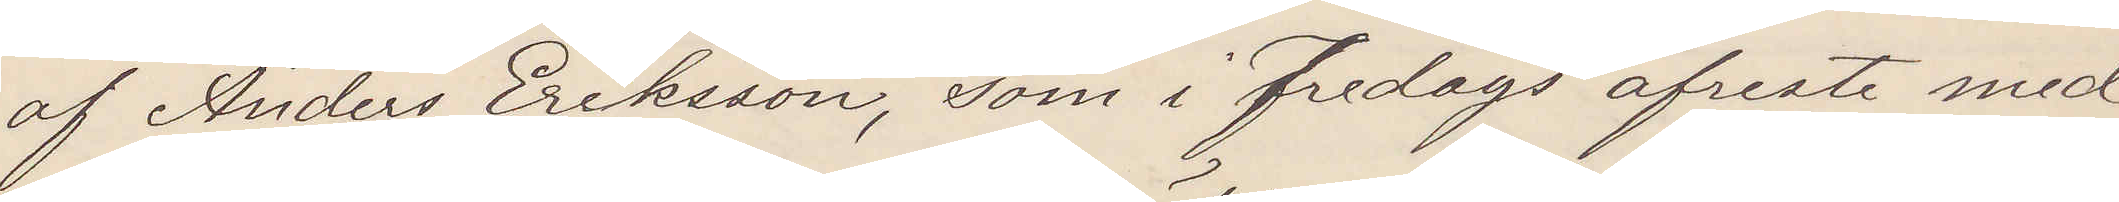af Anders Eriksson, som i fredags afreste med
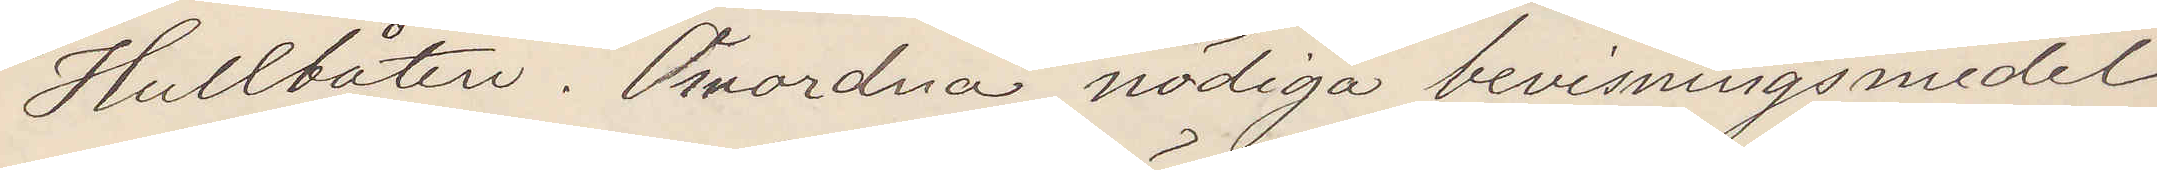Hullbåten. Anordna nödiga bevismedel
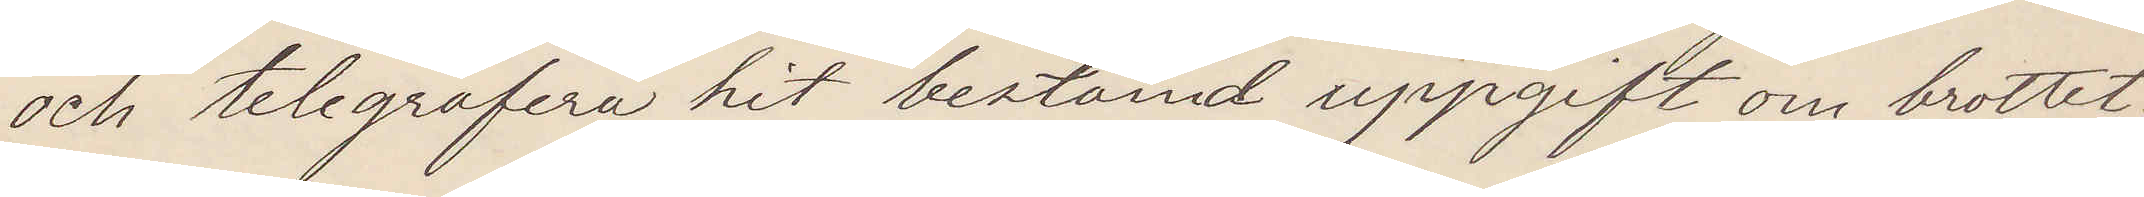och telegrafera hit bestämd uppgift om brottet.
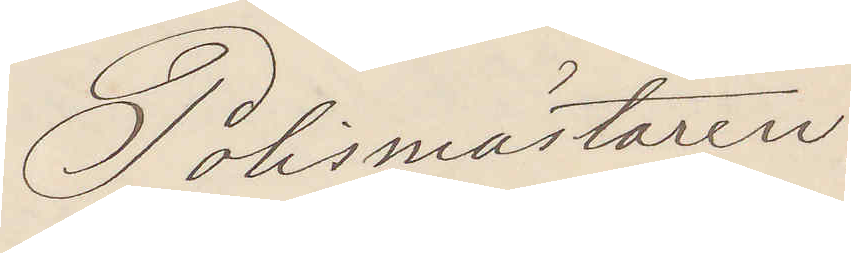Polismästaren
